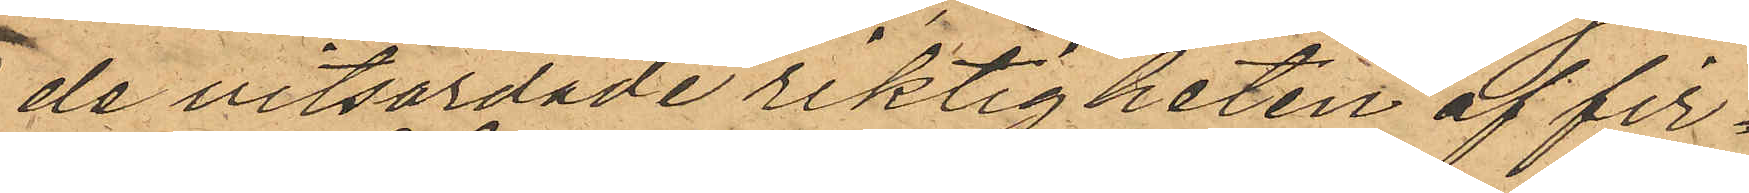de vitsordade riktigheten af fir¬
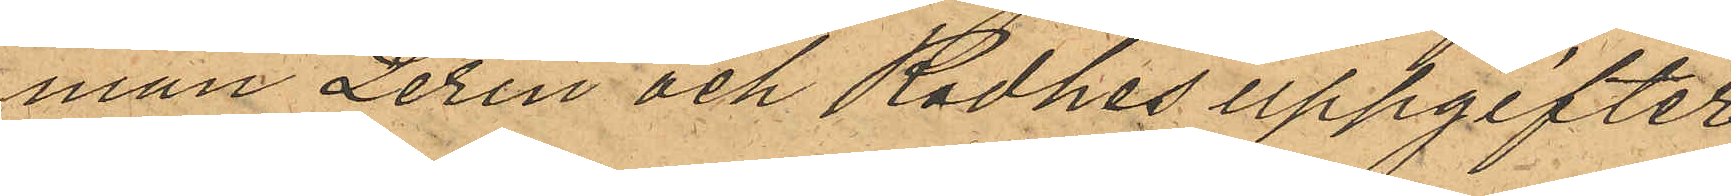man Lerin och Rodhes uppgifter
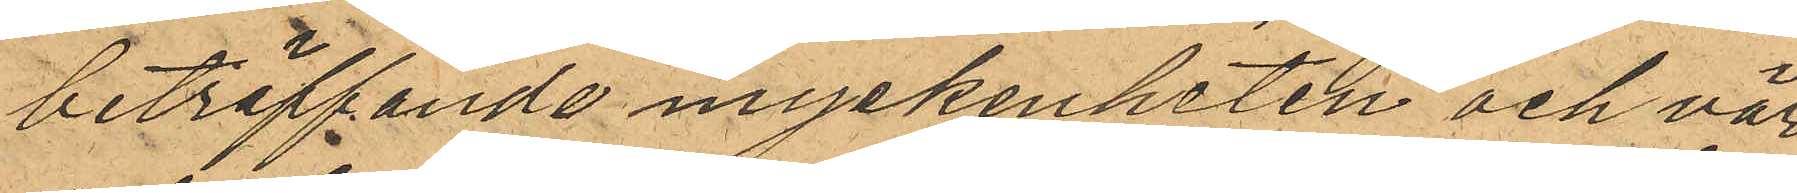beträffande myckenheten och vär¬
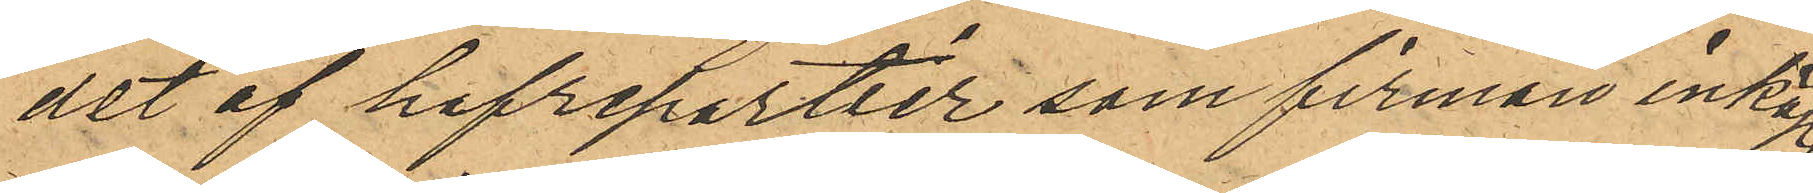det af hafrepartier som firman inköpt.
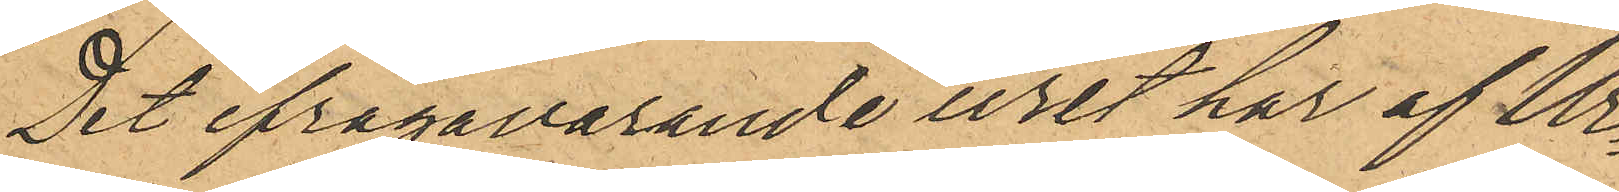Det ifrågavarande uret har af Ur¬
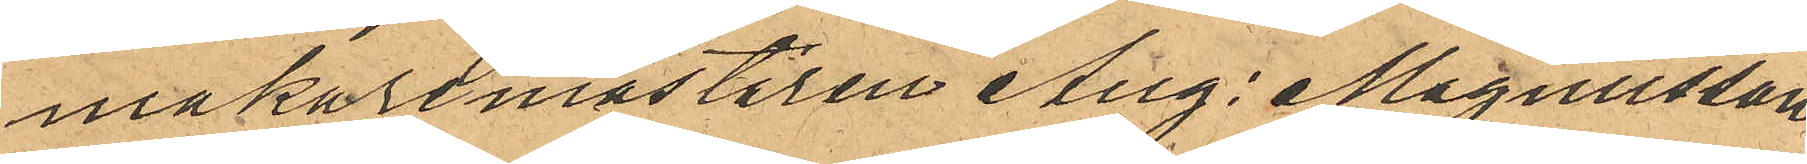makaremästaren Aug: Magnusson
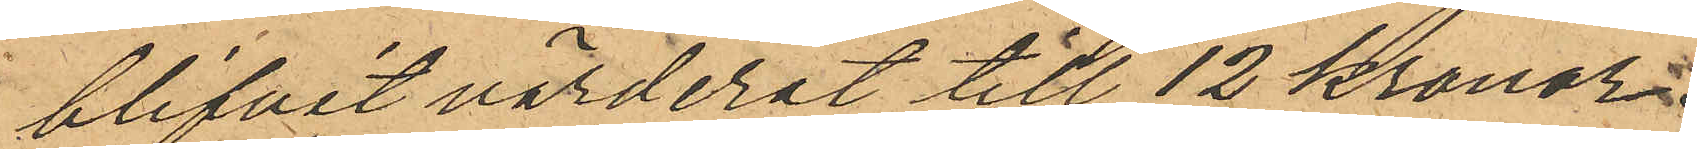blifvit värderat till 12 kronor.
